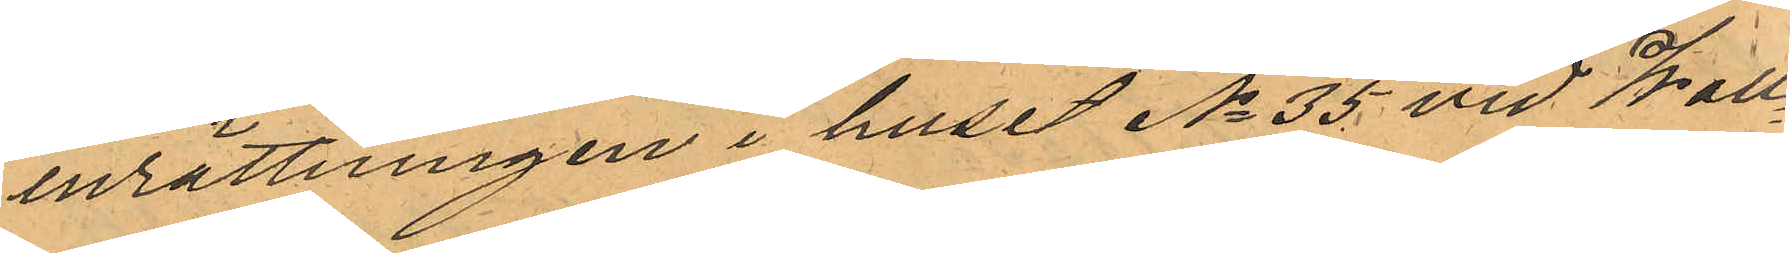inrättningen i huset No 35 vid Wall¬
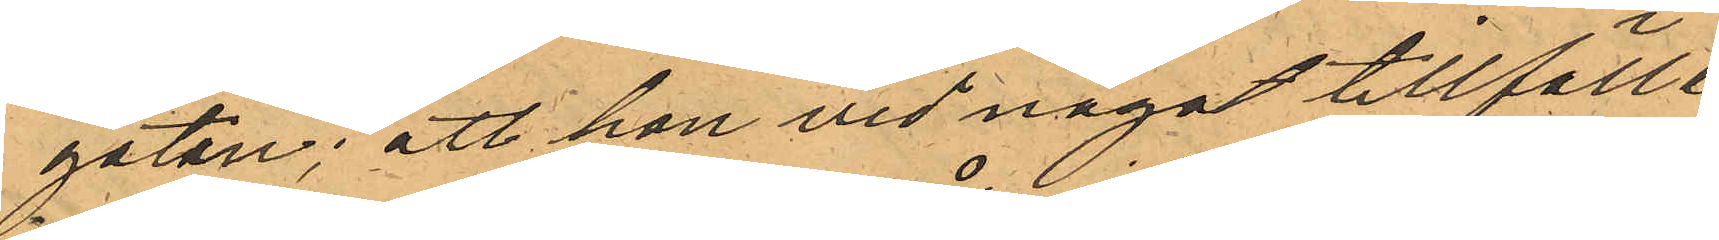gatan; att hon vid något tillfälle
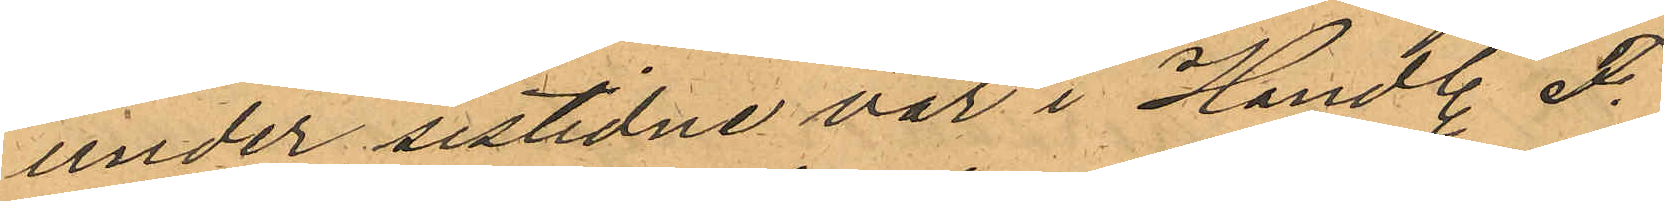under sistidne vår i Handl. F.
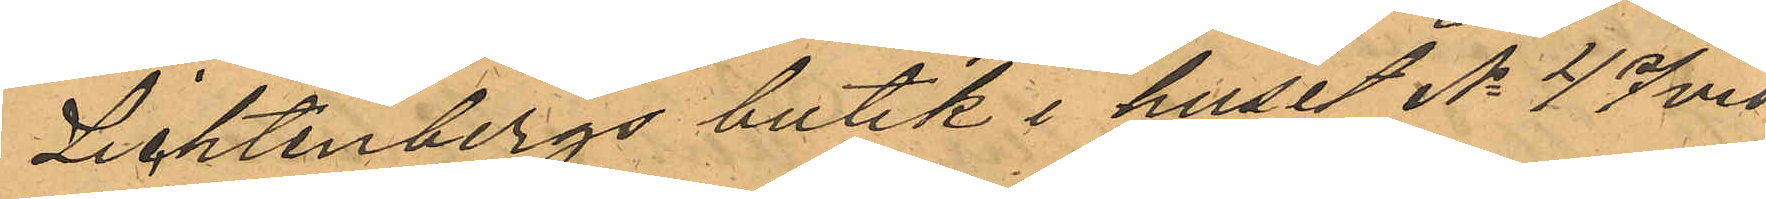Lichtenbergs butik i huset No 47 vid
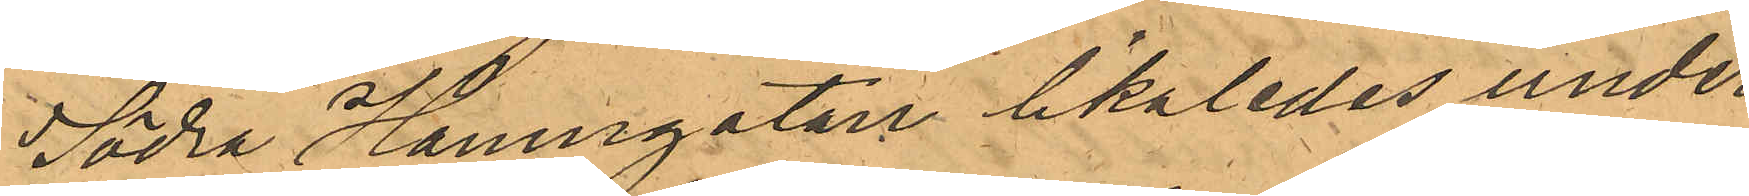Södra Hamngatan likaledes under
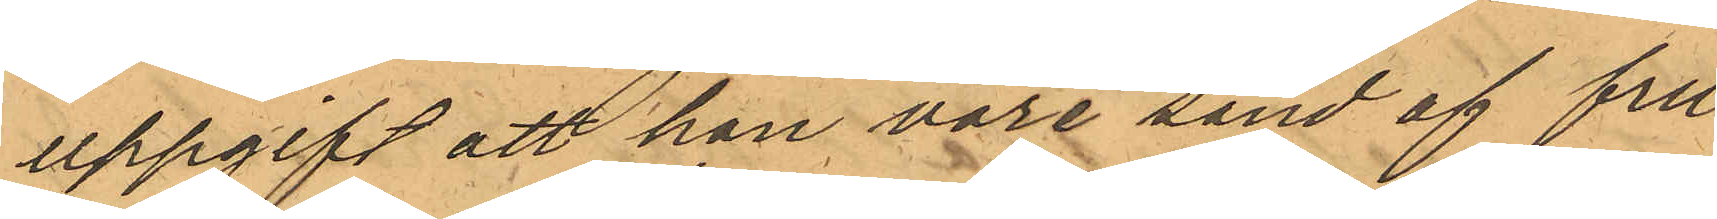uppgift att hon vore sand af fru¬
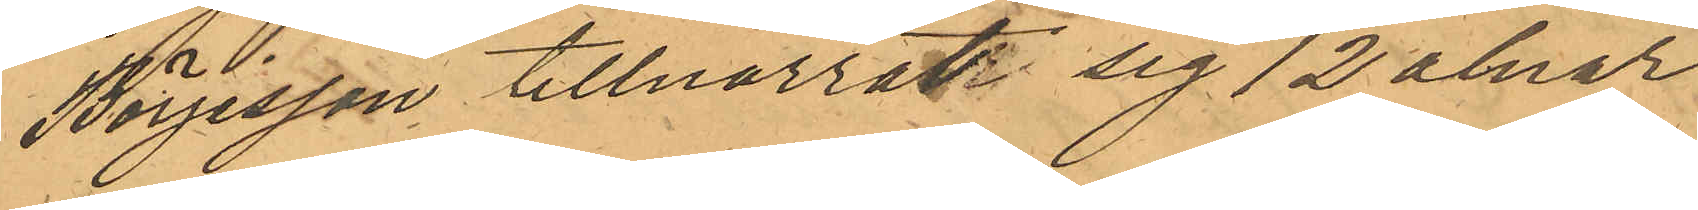Börjesson tillnarrat sig 12 alnar
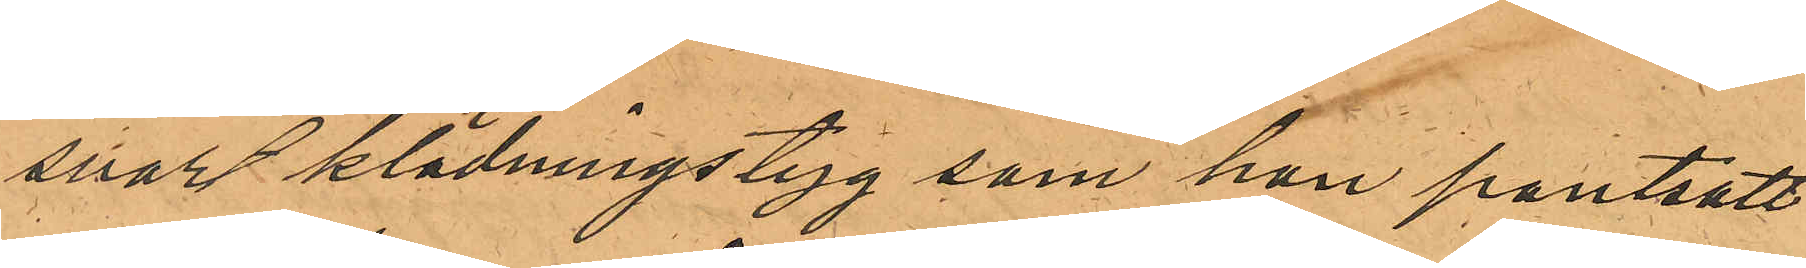svart klädningstyg som han pantsatt
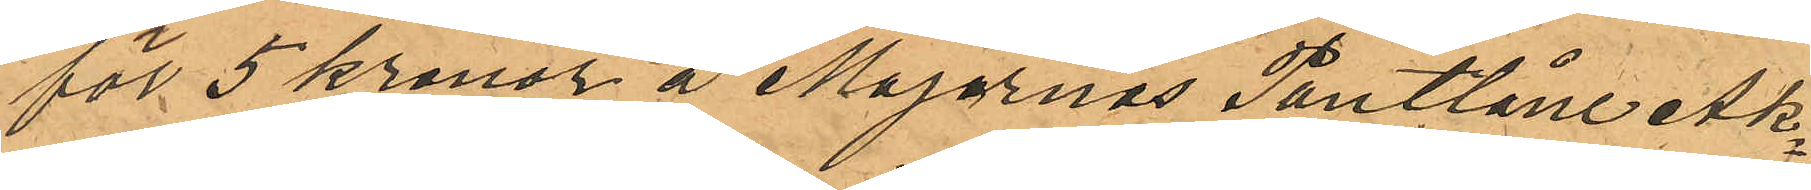för 5 kronor å Majornas Pantlåne Ak¬
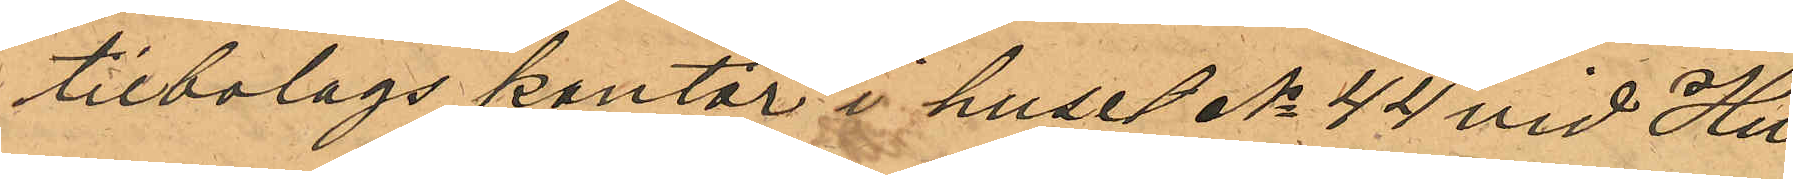tiebolags kontor i huset No 44 vid Hu¬
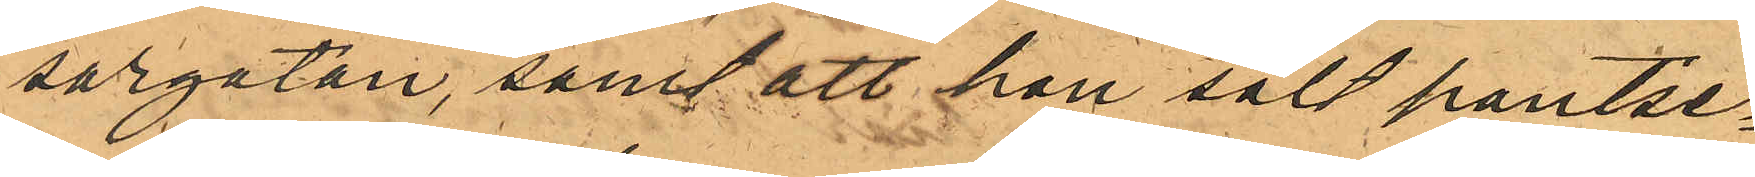sargatan, samt att hon sålt pantse¬
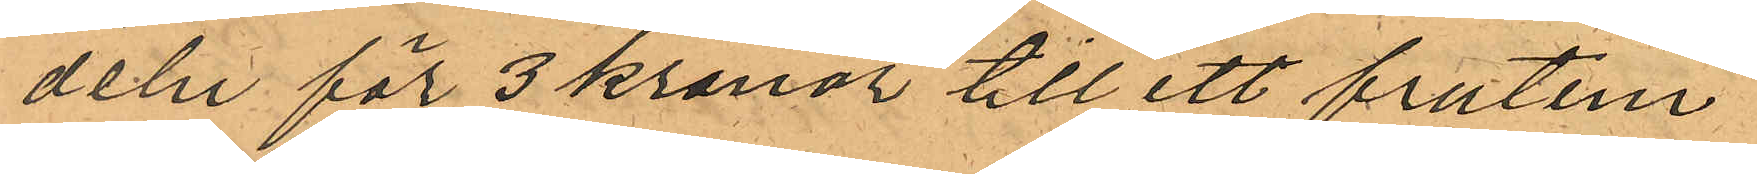deln för 3 kronor till ett frutim¬
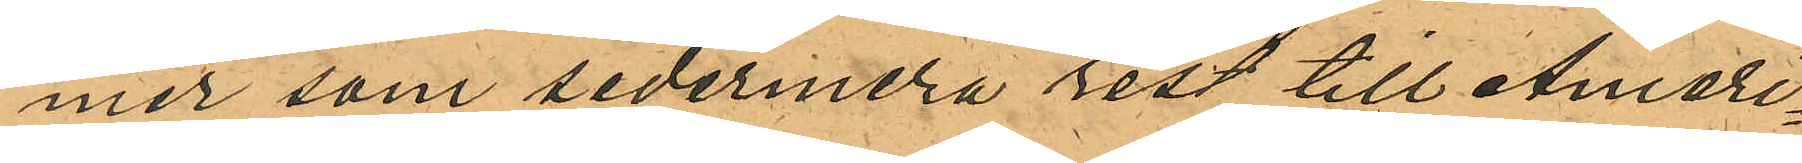mer som sedermera rest till Ameri¬
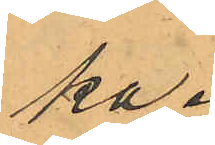ka.
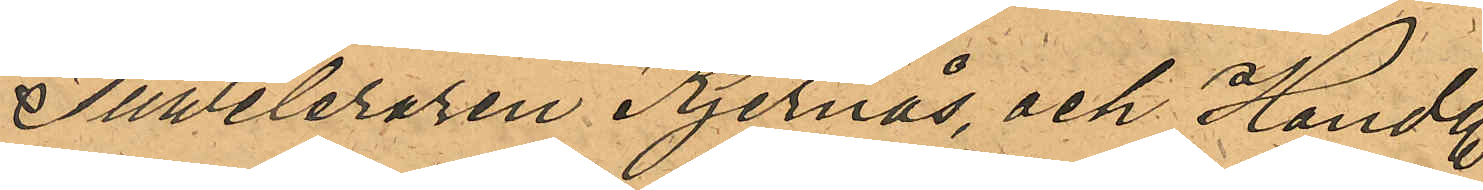Juweleraren Kjernås, och Handl.
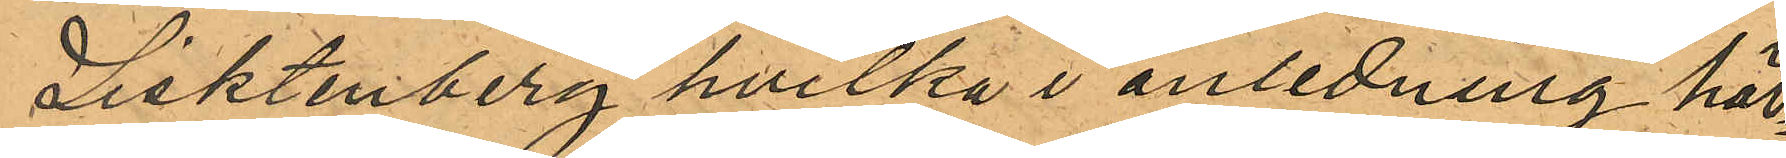Lisktenberg hvilka i anledning här¬
